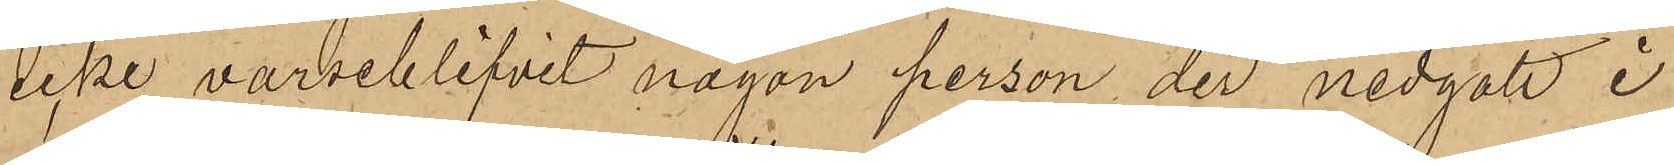icke varseblifvit någon person der nedgått i
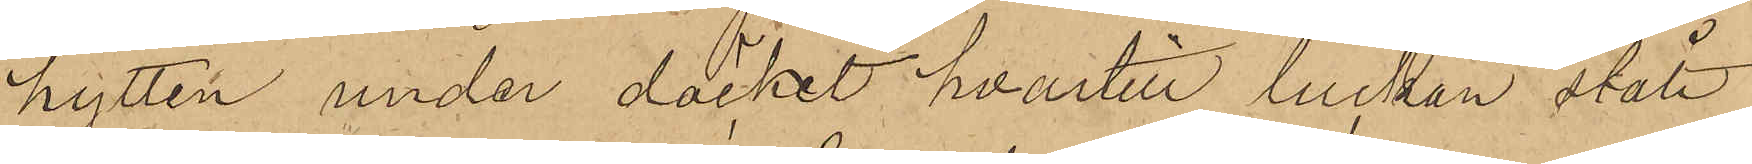hytten under däcket, hvartill luckan stått
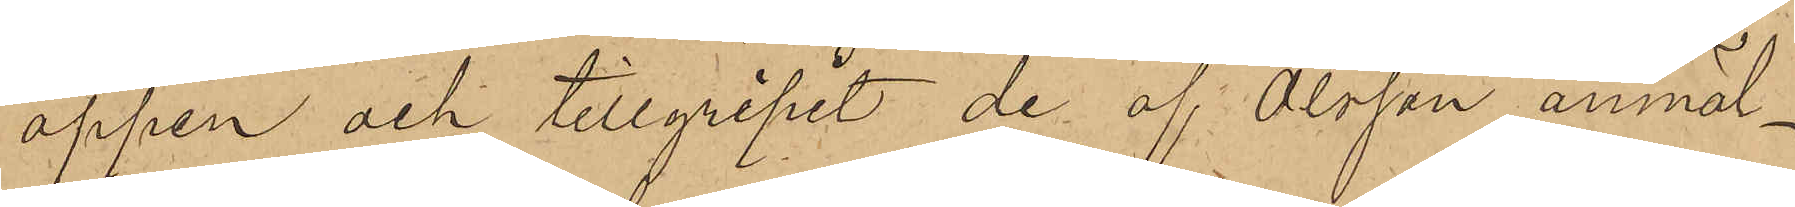öppen och tillgripit de af Olsson anmäl¬
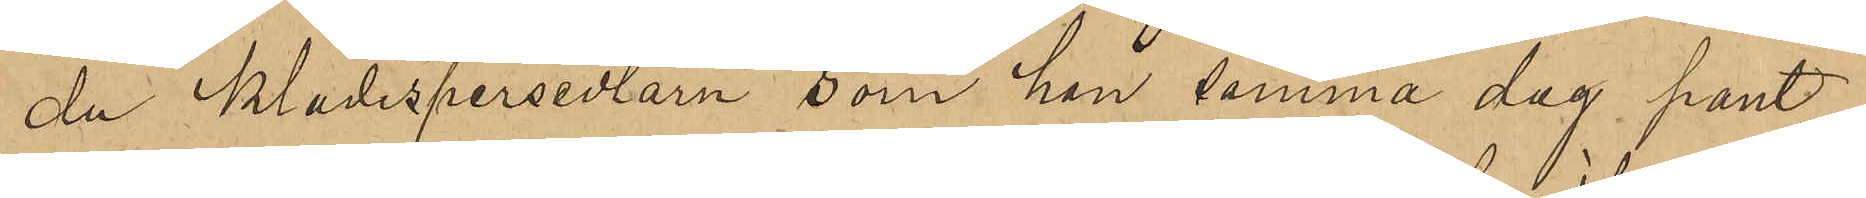da klädespersedlarn som han samma dag pant¬
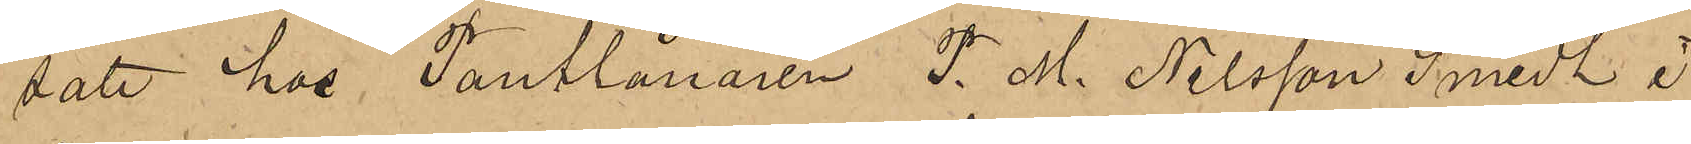satt hos Pantlånaren P. M. Nilsson Smidt i
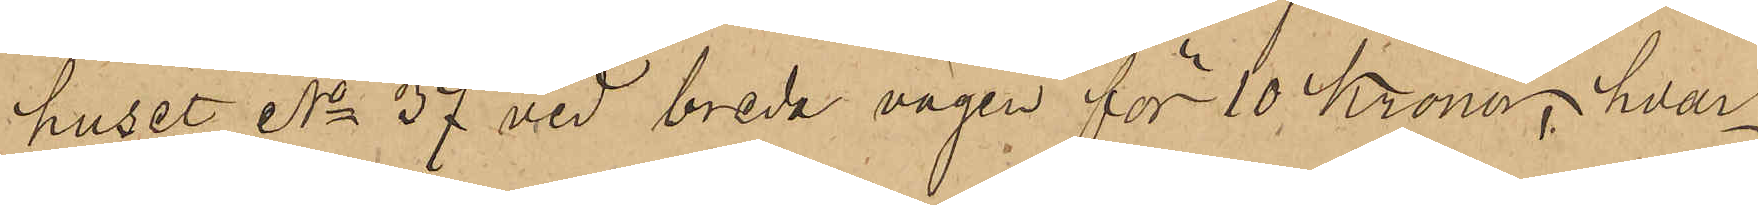huset No 37 vid breda vägen för 10 Kronor, hvar¬
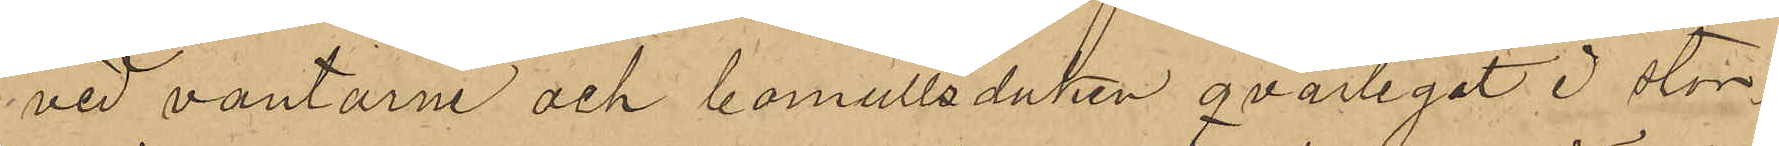vid vantarne och bomullsduken qvarlegat i stor¬
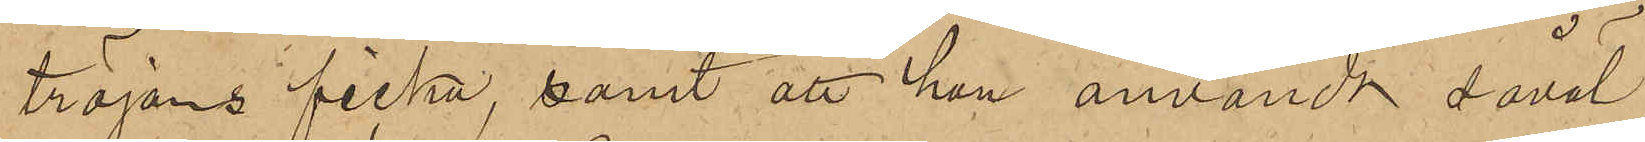tröjans ficka, samt att han användt såväl
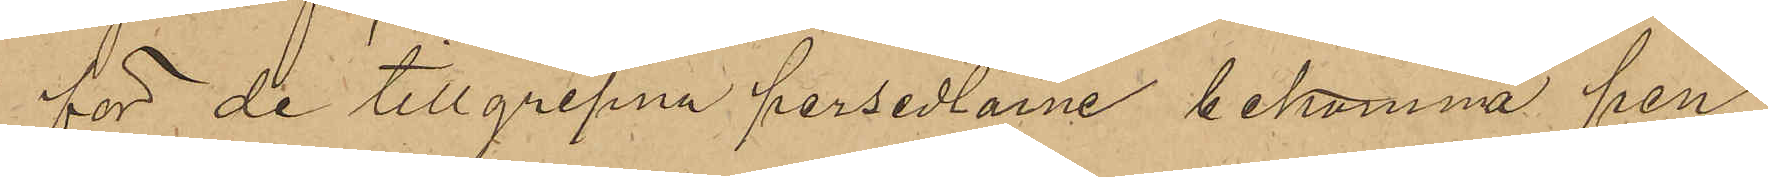för de tillgripna persedlarne bekomma pen¬
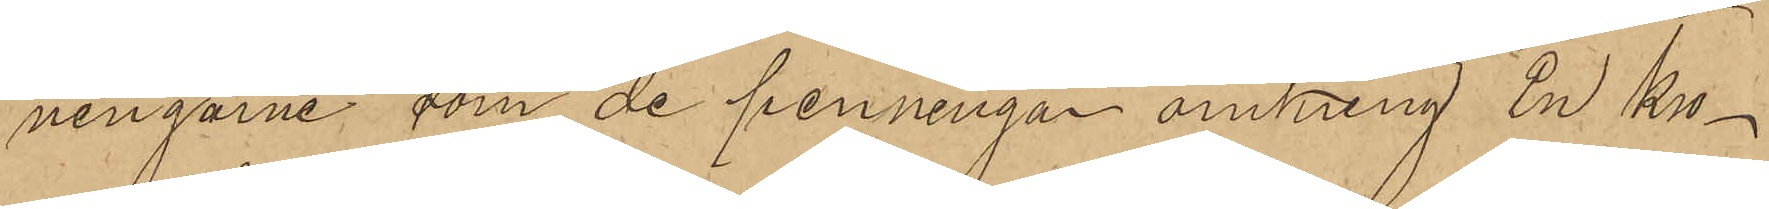ningarne som de penningar omkring En Kro¬
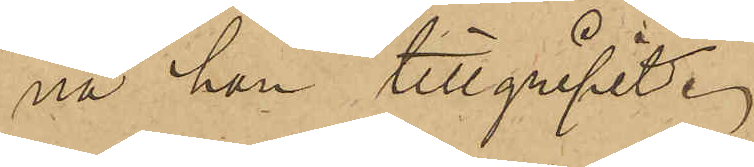na han tillgripit.
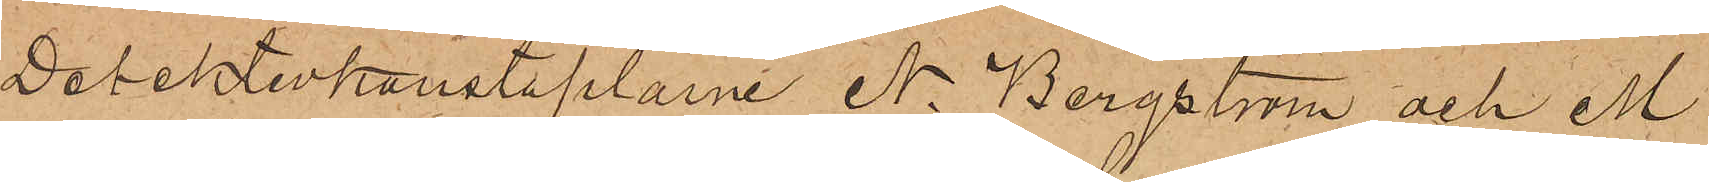Detektivkonstaplarne N. Bergström och M
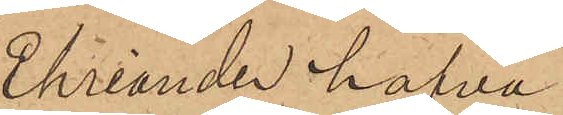Ehriander hafva
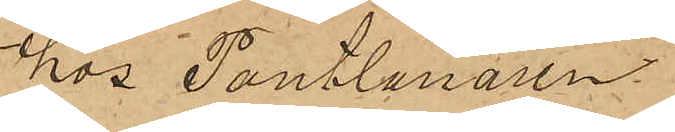hos Pantlånaren
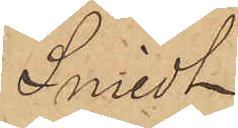Smidt
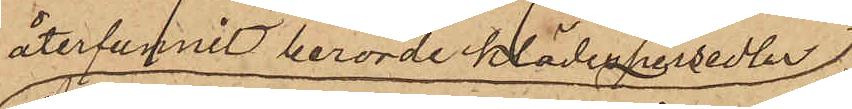återfunnit berörde klädespersedlar 
